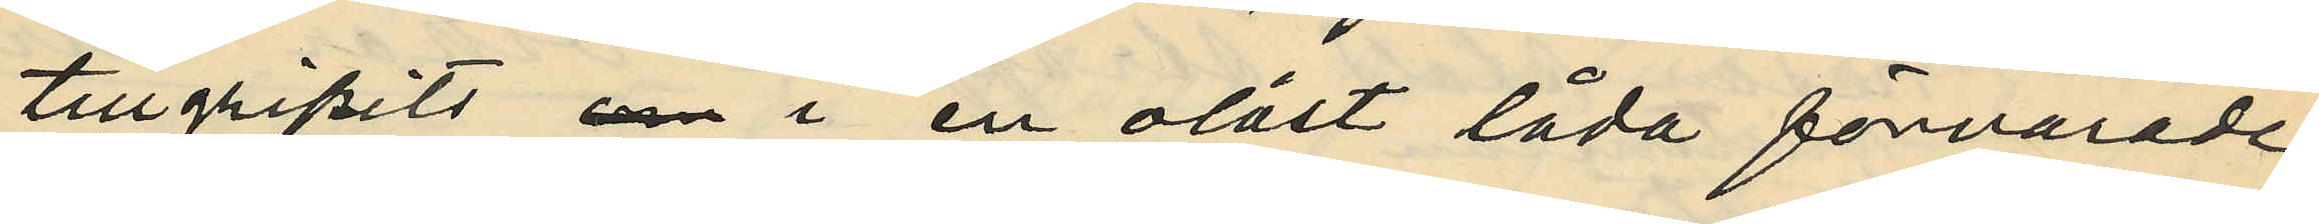tillgripits i en olåst låda förvarade
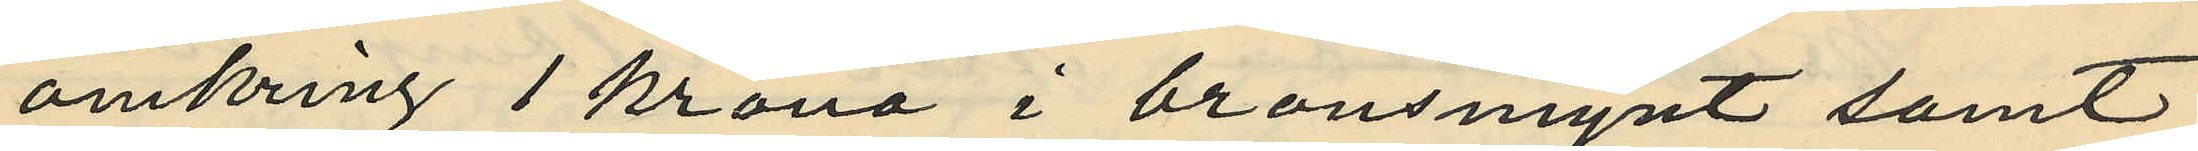omkring 1 krona i bronsmynt samt
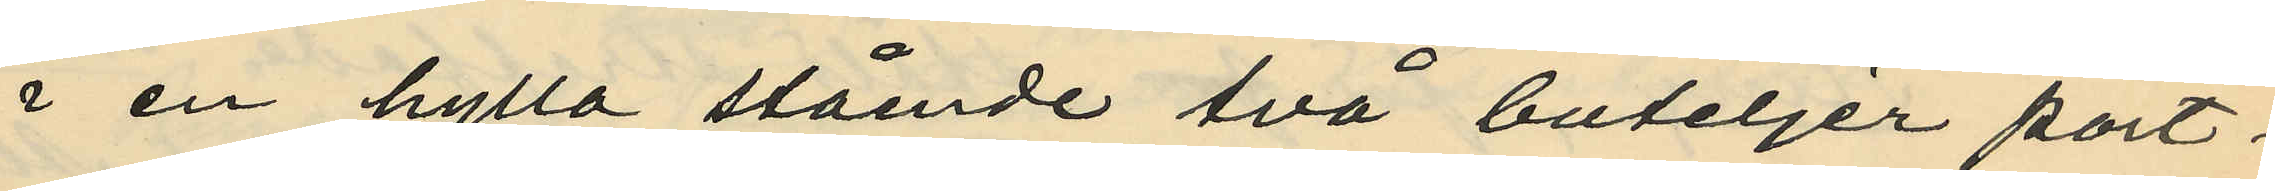i en hylla stående två buteljer port¬
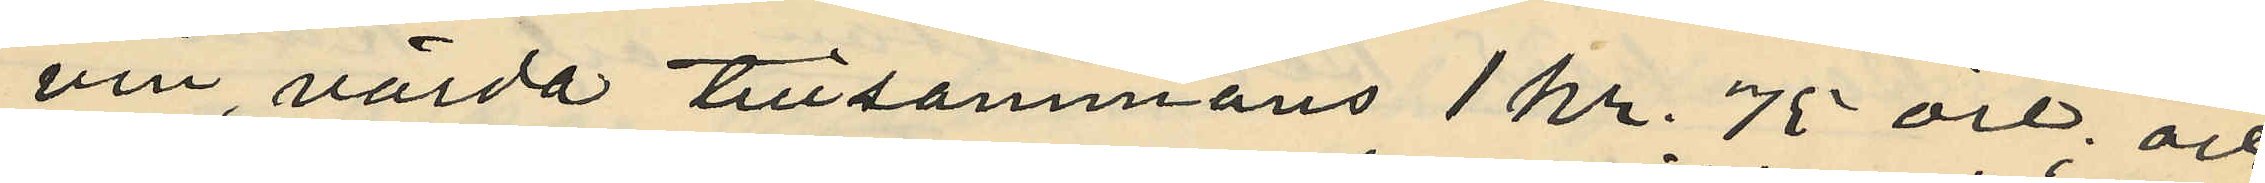vin, värda tillsammans 1 kr. 75 öre och
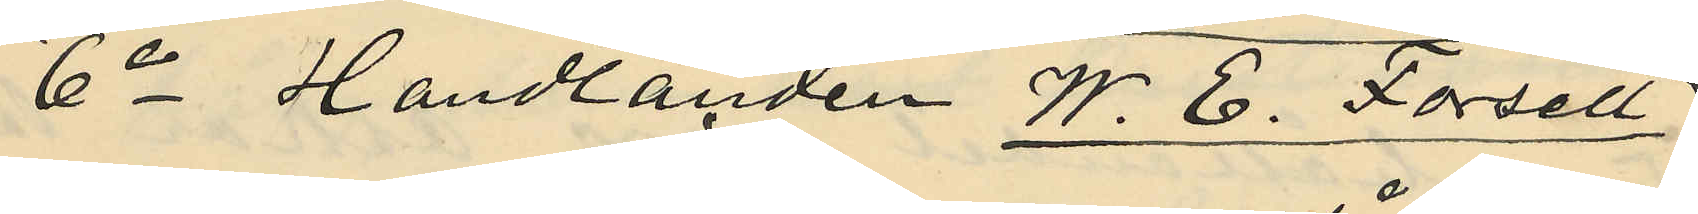6o Handlanden W. E. Forsell
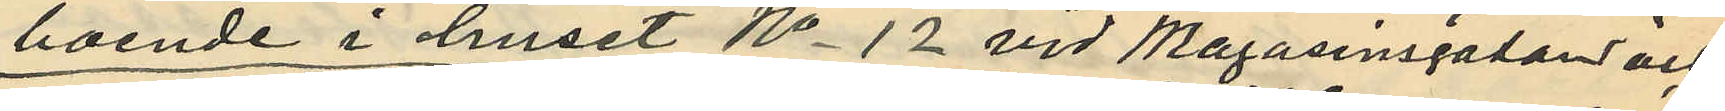boende i huset No 12 vid Magasinsgatan och
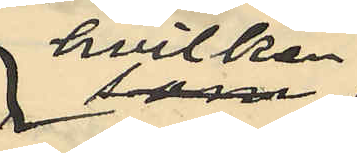hvilken
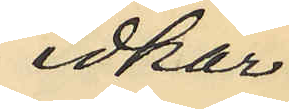idkar
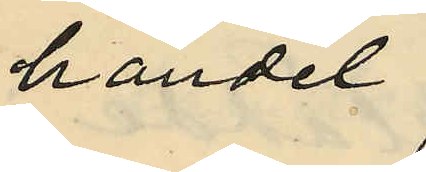handel
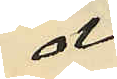å
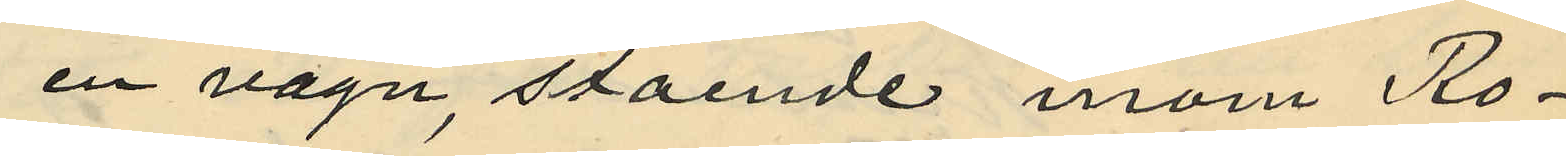en vagn, stående inom Ro¬
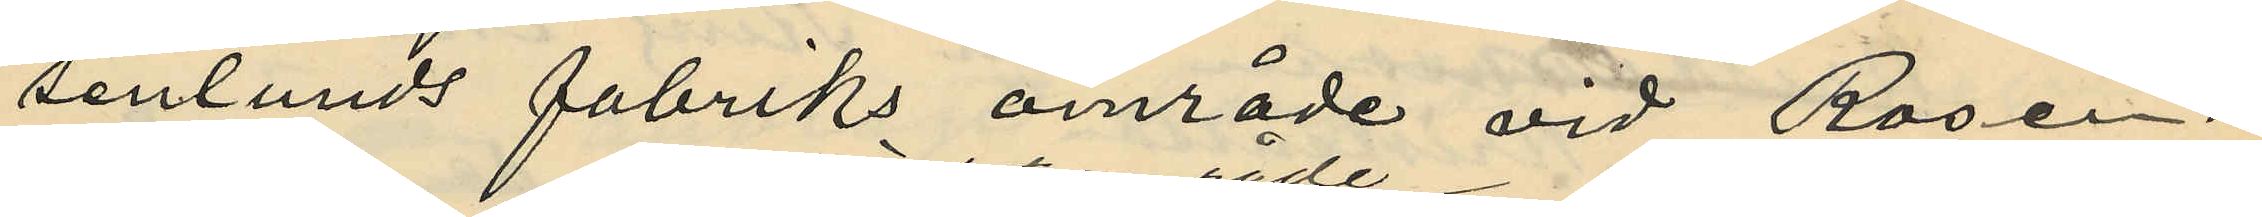senlunds fabriks område vid Rosen¬
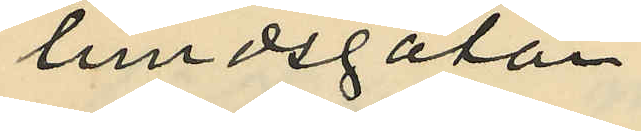lundsgatan,
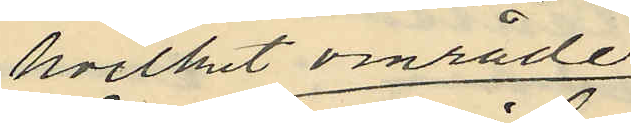hvilket område
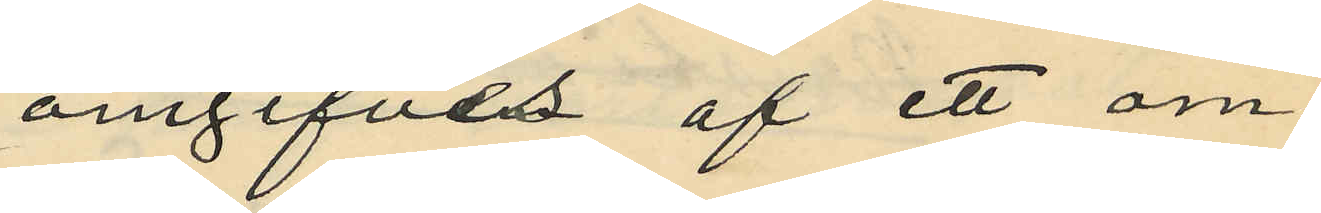omgifves af ett om¬
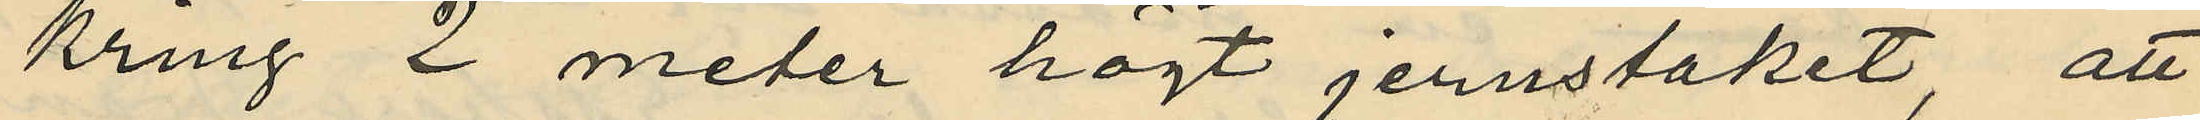kring 2 meter högt jernstaket, att
